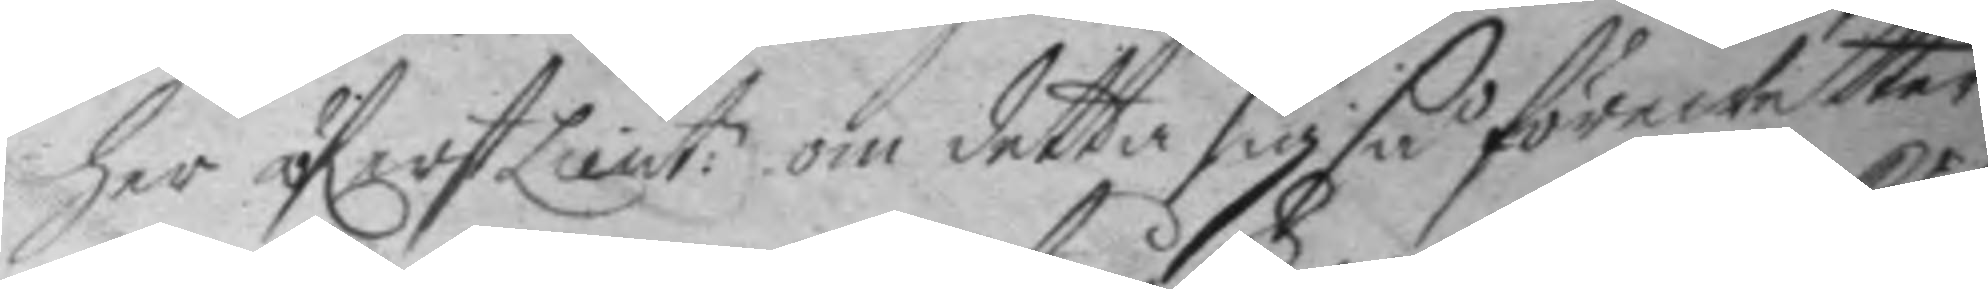her öferstLieut: om detta sig så förewetter 
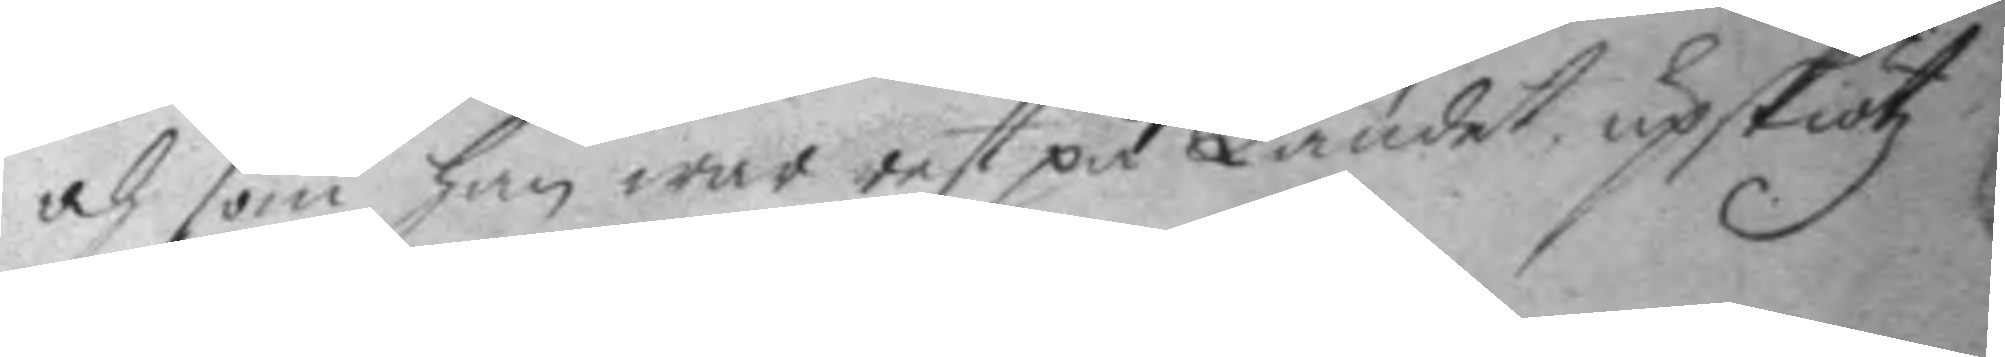och som han war rest på Landet upskiötz
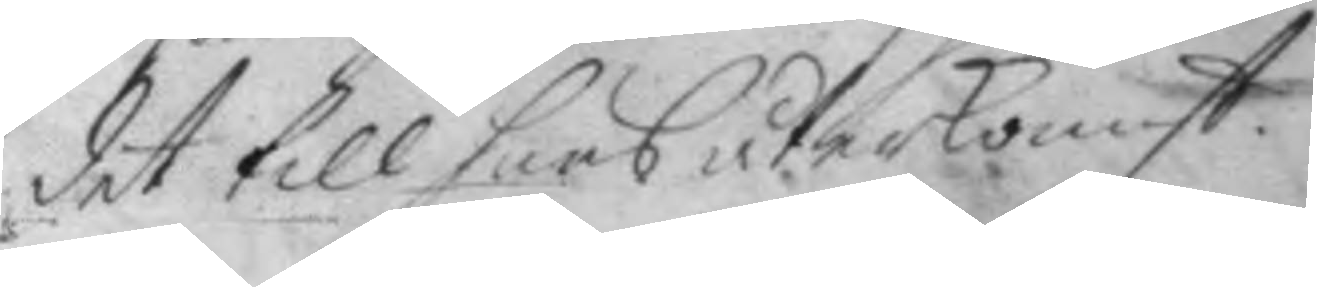det till hans återkomst.
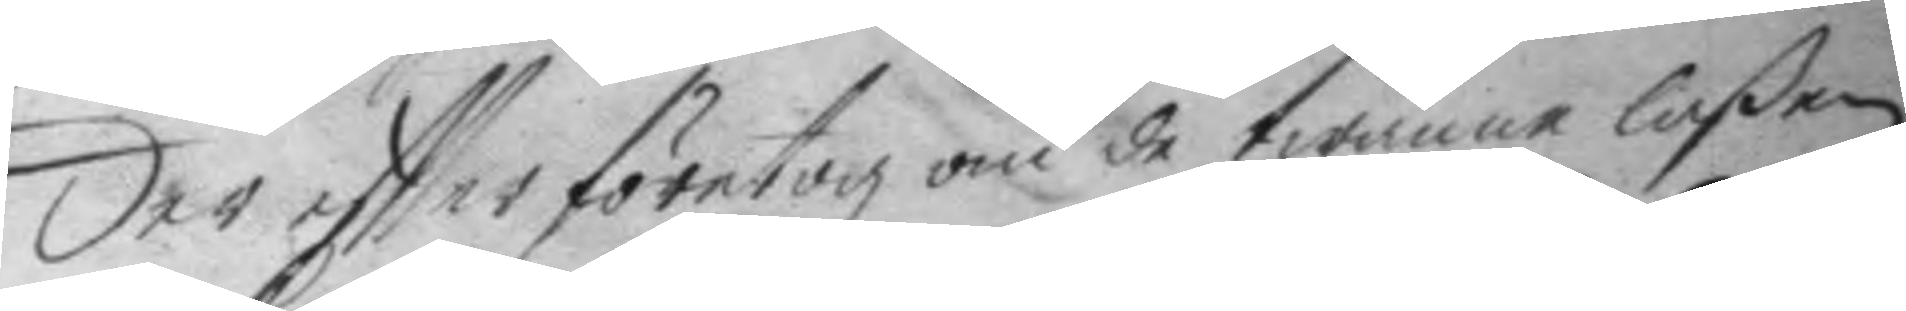Der effter företogz om de twänne laßen
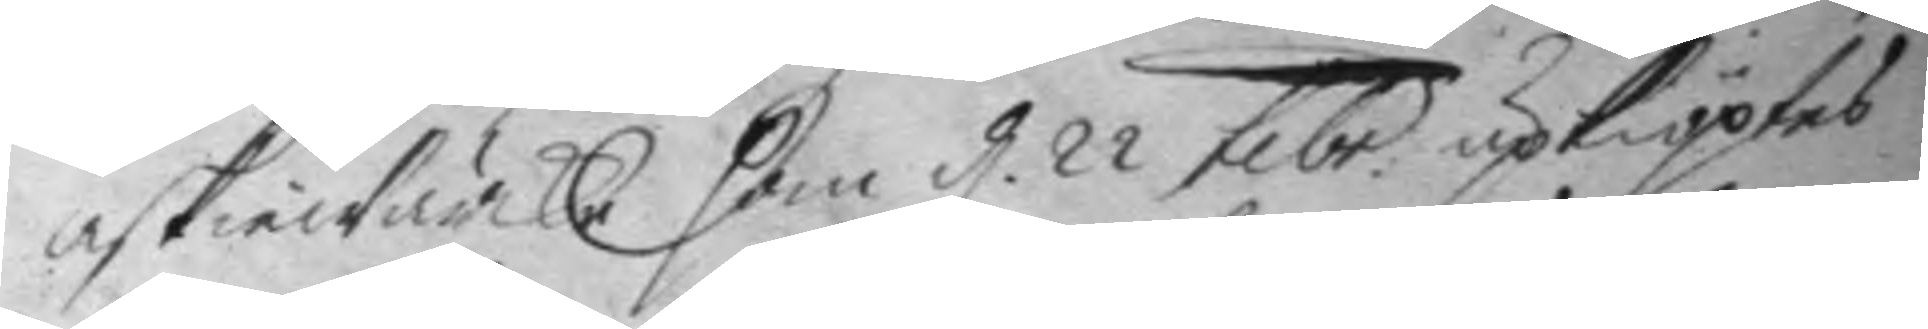askwärcke som d 22 febr upkiöptes 
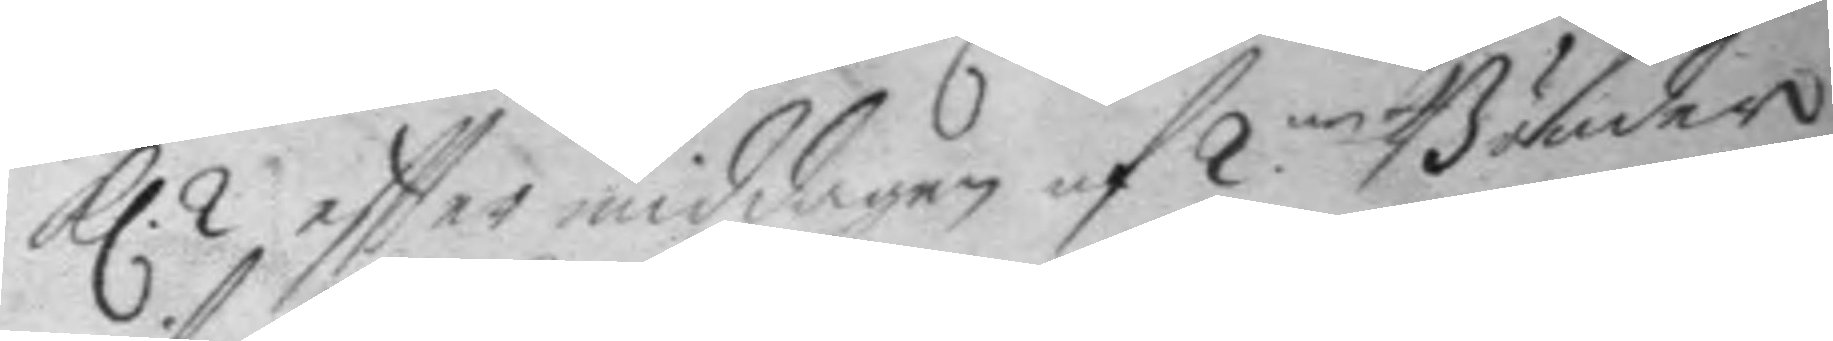Kl. 2 eftter middagen af 2:ne Bönder 
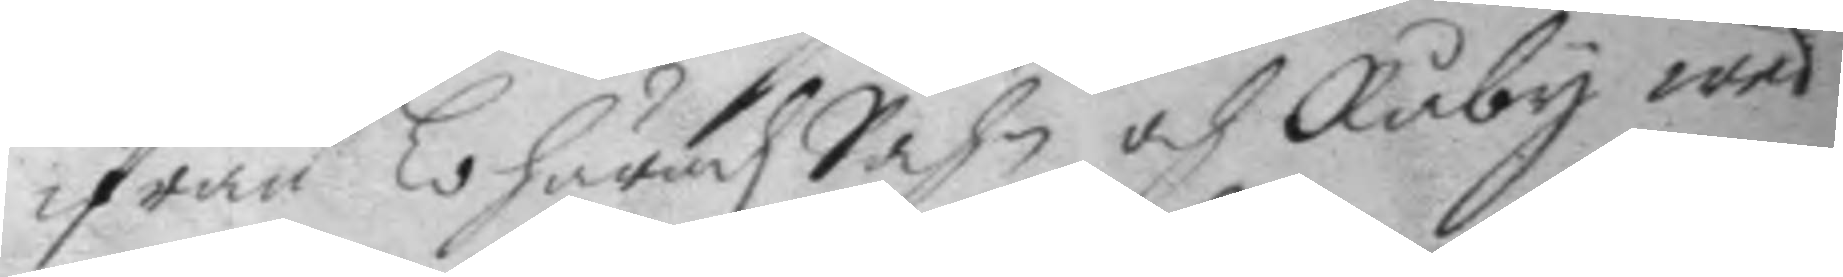ifrån Lohäradz Sohn och Råby wed
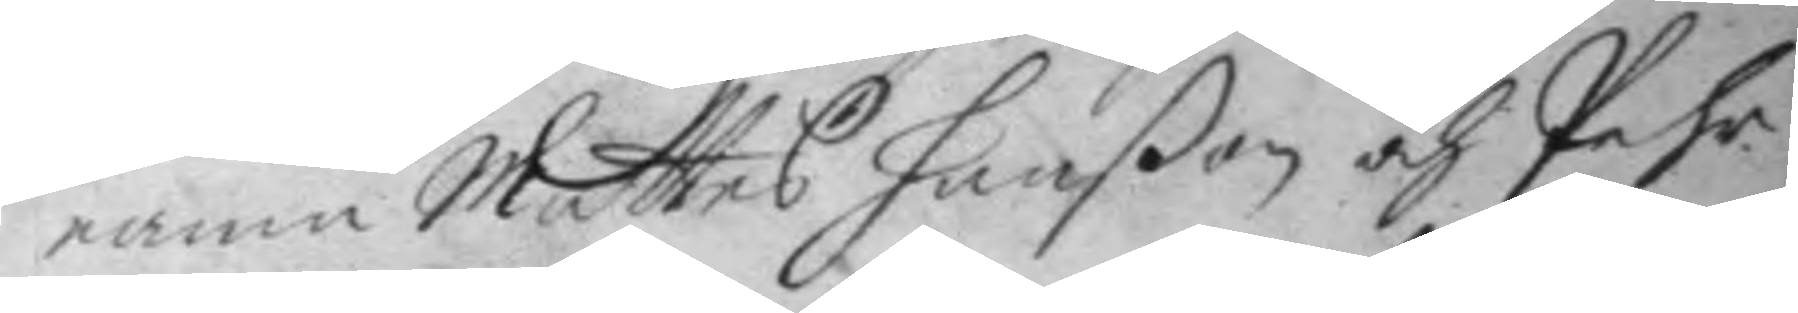namn Mattes hanßon och Pehr
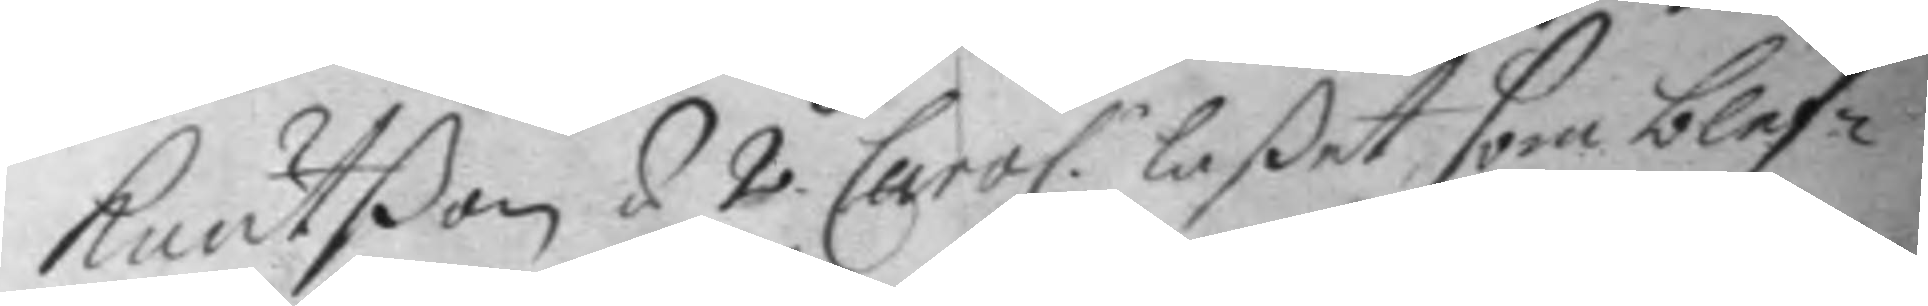Knutßon á 2. Carol.: Laßet som blef¬ 
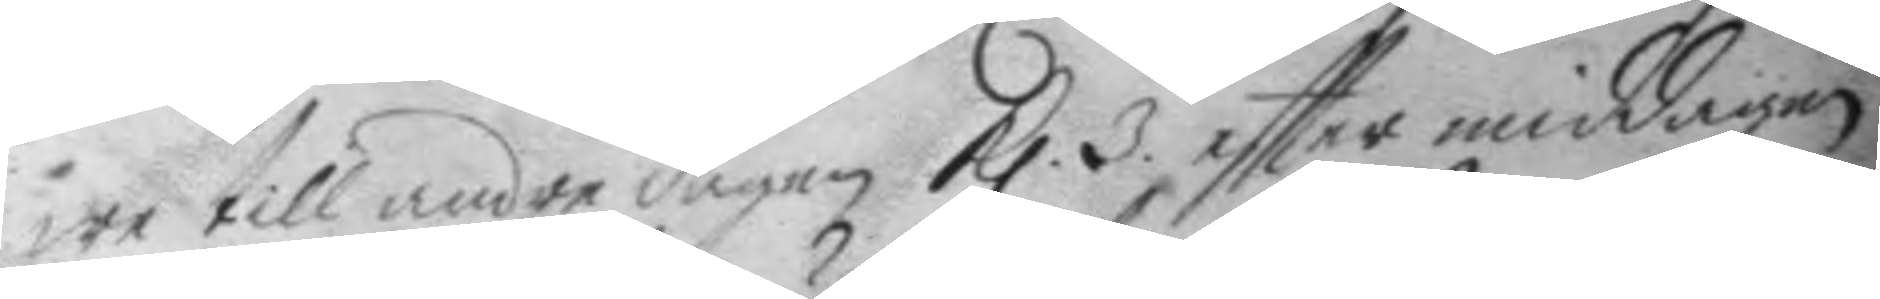we till andre dagen Kl. 3. eftter middagen 
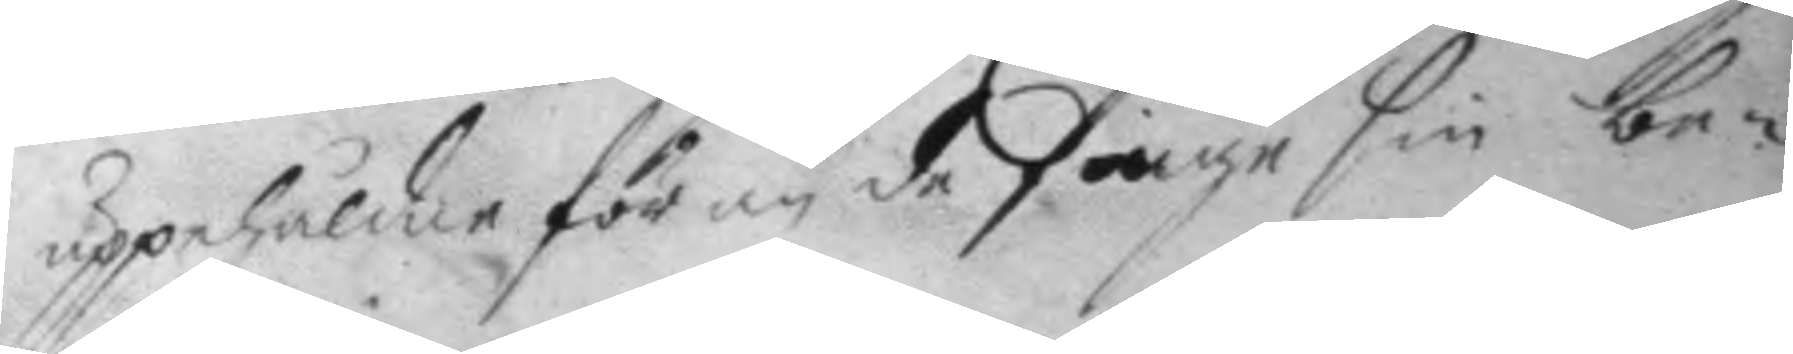uppehåldne för än de finge sin be¬
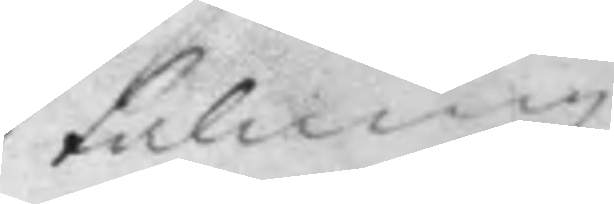talning.
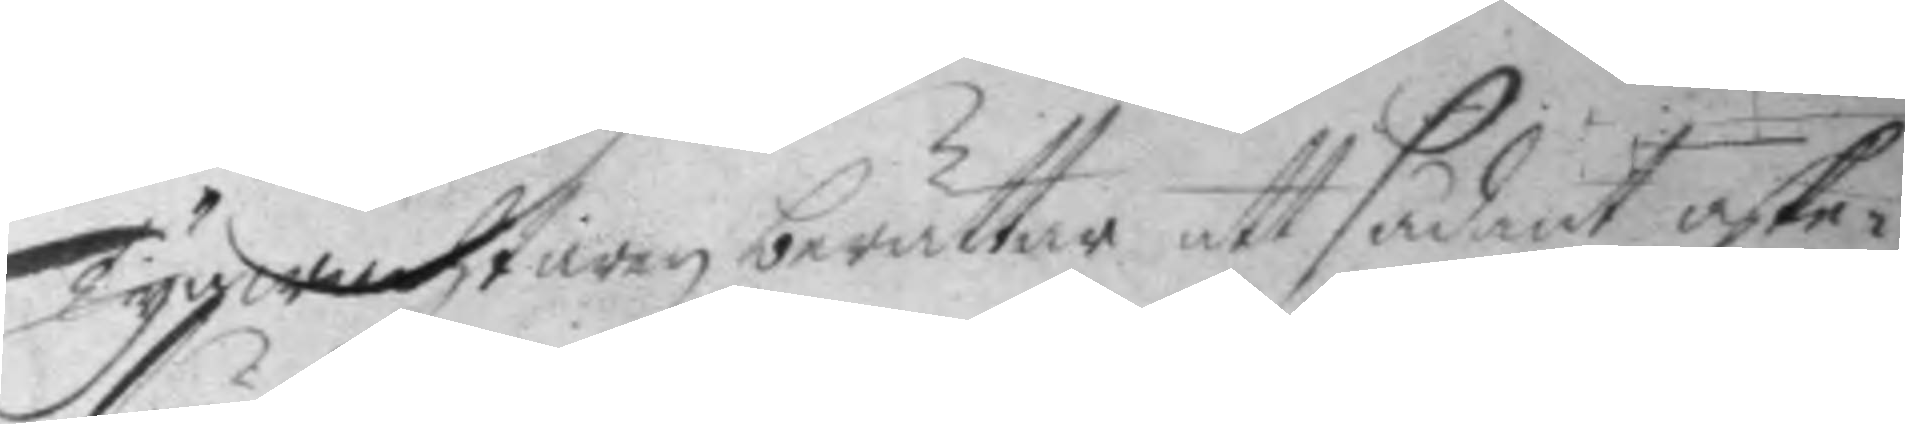Tygwachtaren berättar att sådant aske¬
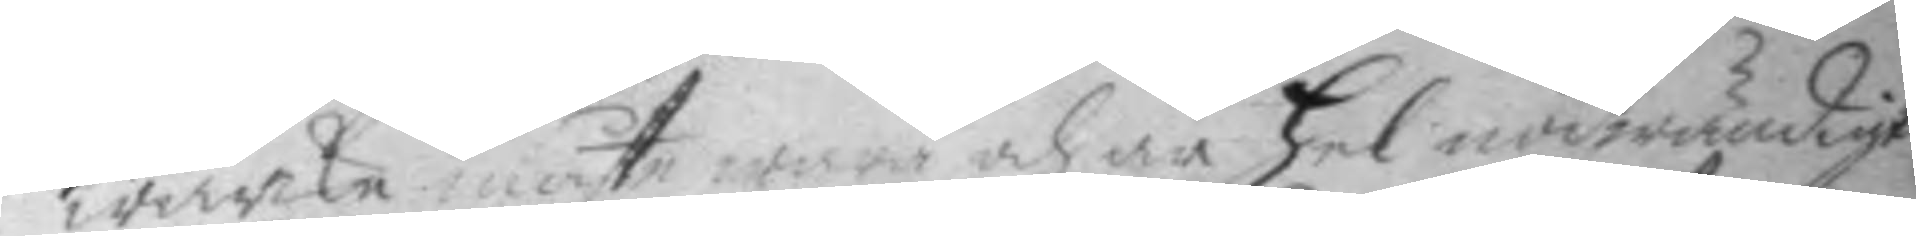wärke: måste wara och är hel nödwändigt
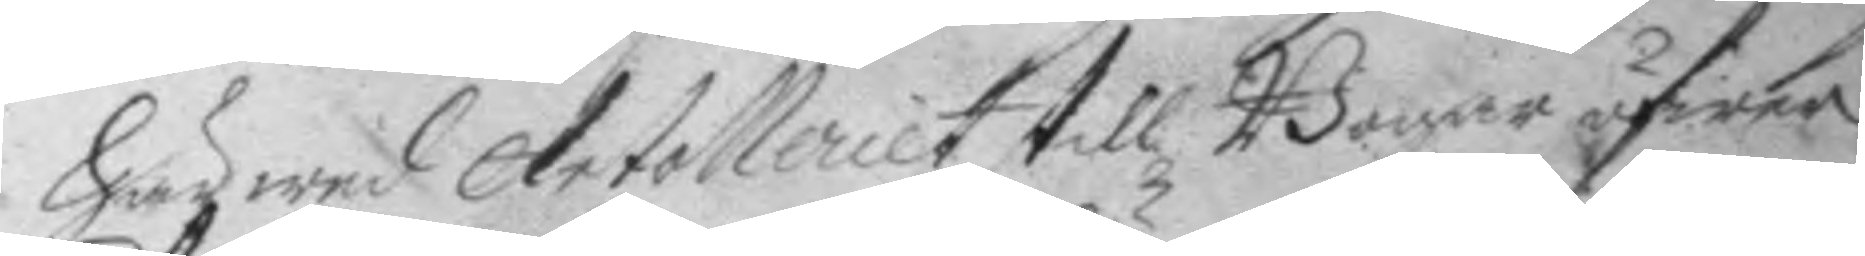Härwed Artolleriet till Bogar öfwer
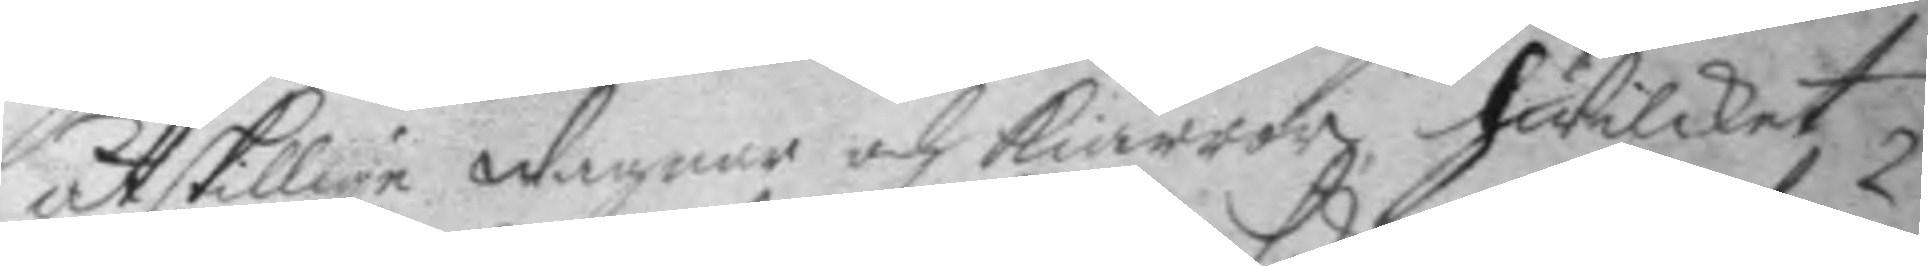åtskillige wagnar och kiärror hwilket
